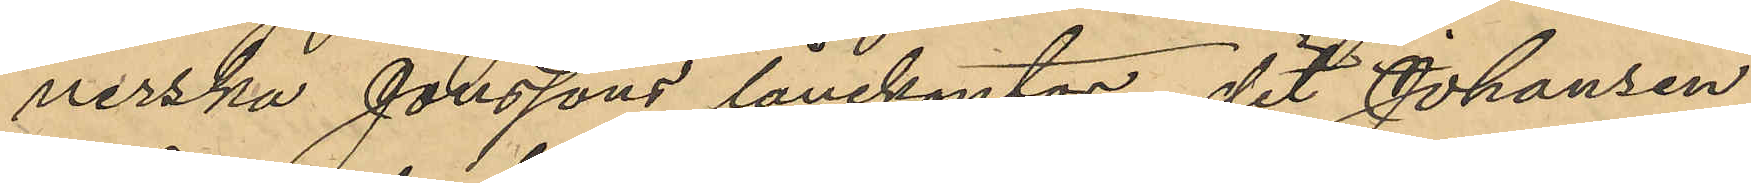nerska Jonssons lånekontor, dit Johansen
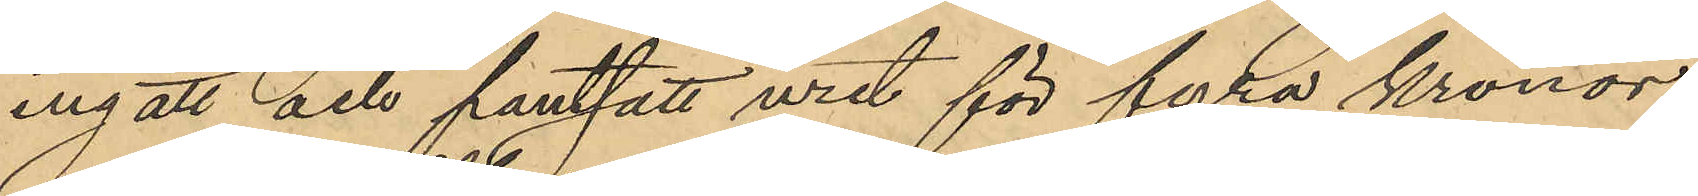ingått och pantsatt uret för fyra kronor
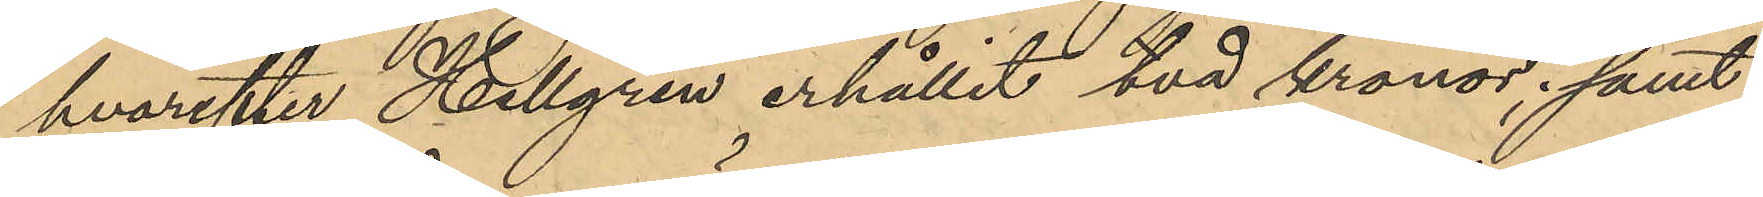hvarefter Hellgren erhållit två kronor; samt
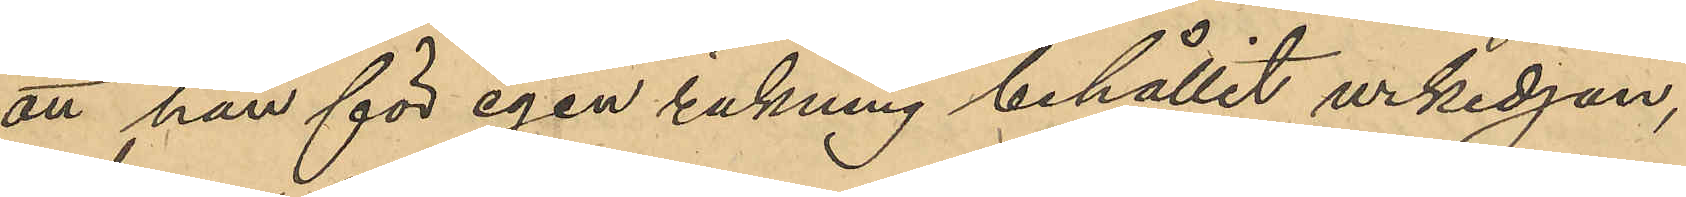att han för egen räkning behållit urkedjan,
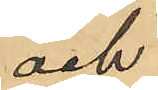och
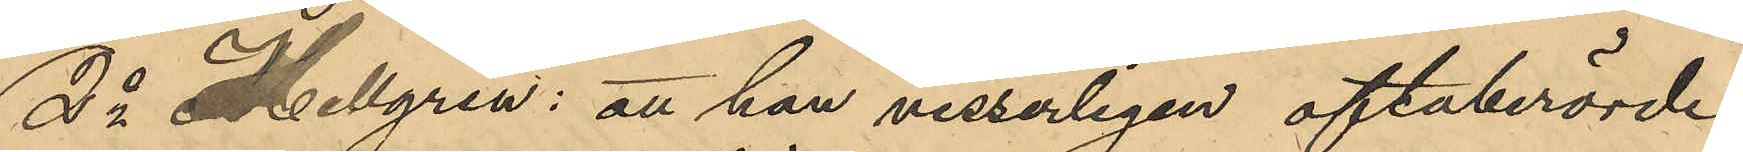2o Hellgren: att han visserligen oftaberörde
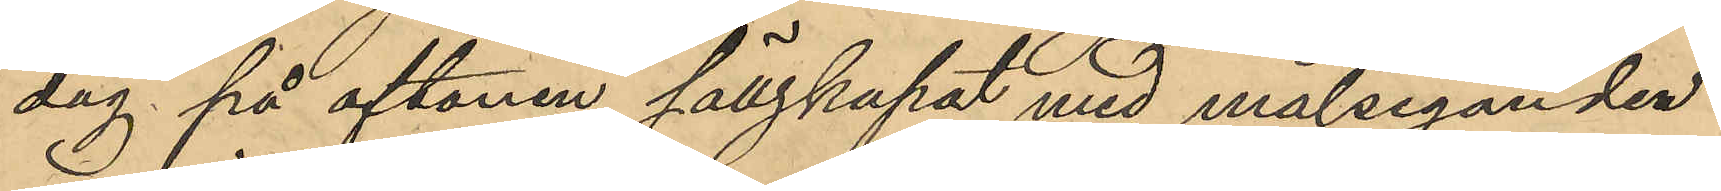dag på aftonen sällskapat med målseganden
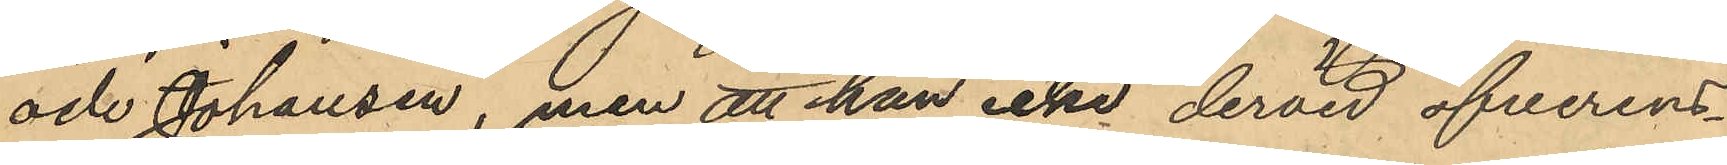och Johansen, men att han icke dervid öfverens¬
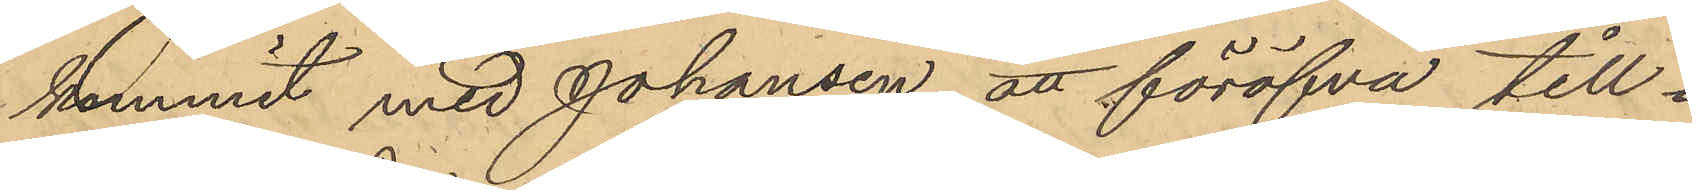kommit med Johansen att föröfva till¬
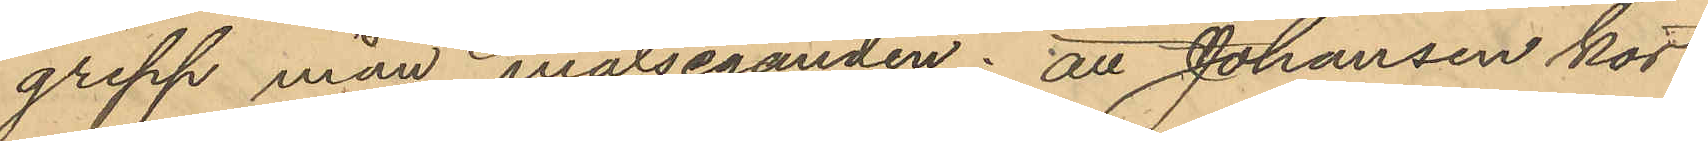grepp mån målseganden; att Johansen kort
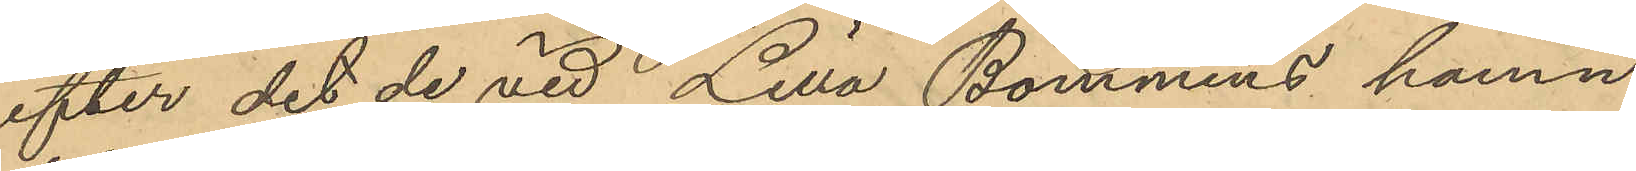efter det de vid Lilla Bommens hamn
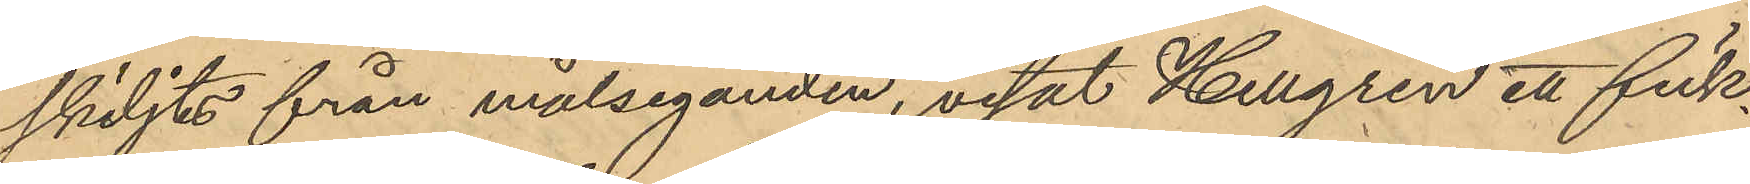skiljts från målseganden, visat Hellgren ett fick¬
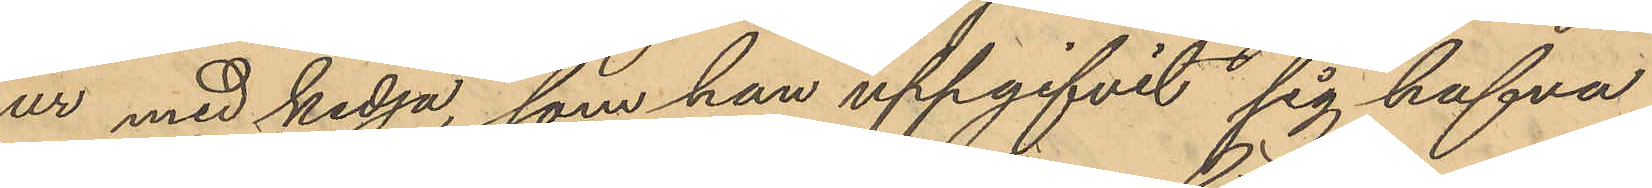ur med kedja, som han uppgifvit sig hafva
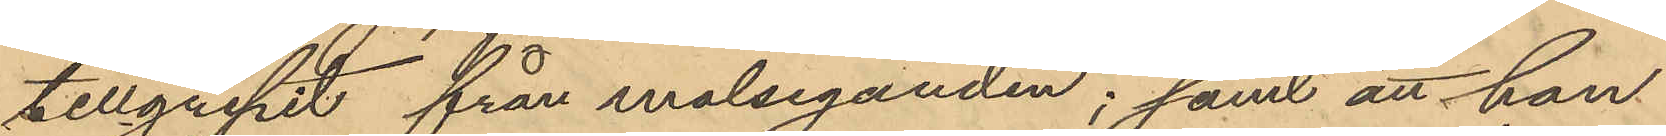tillgripit från målseganden; samt att han
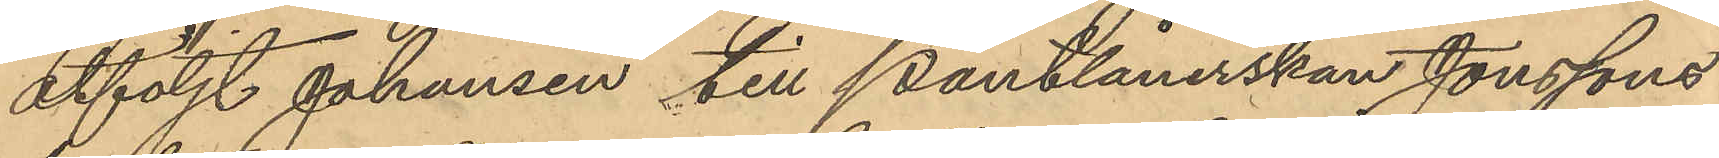åtföljt Johansen till Pantlånerskan Jonssons
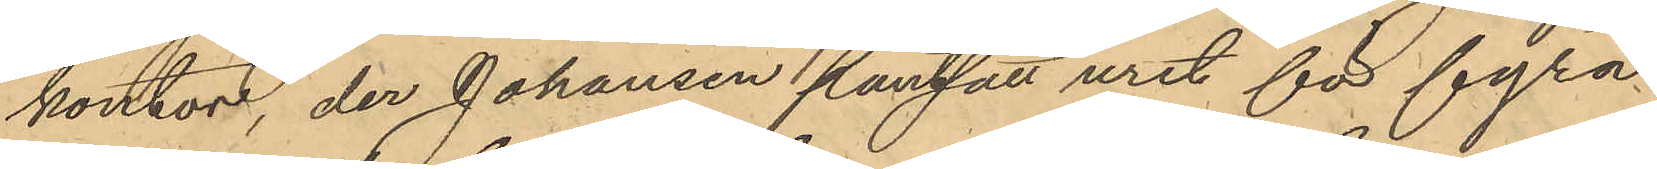kontor, der Johansen pantsatt uret för fyra¬
